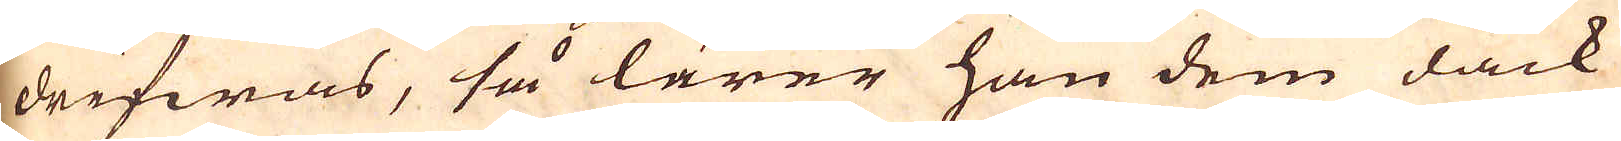drifwas, så lärer han dem dåck
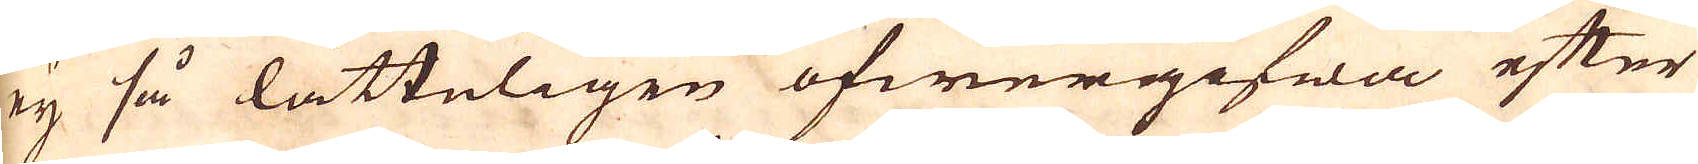ej så lätteligen öfwergifwa efter
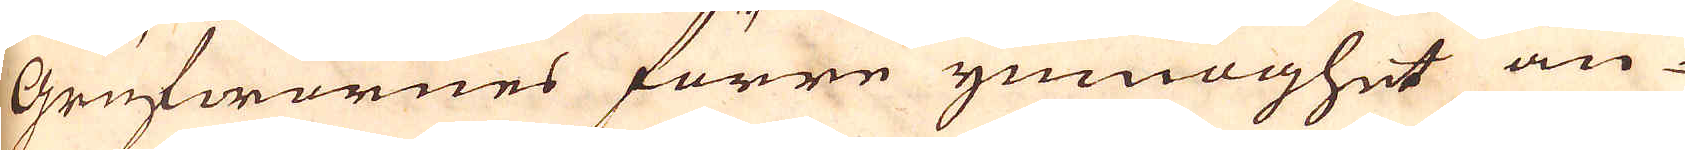Grufwornes förre ymnoghet än-
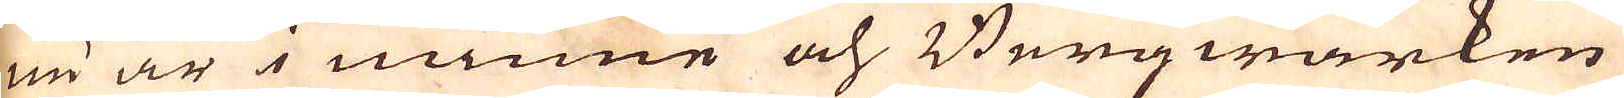nu är i minne och Bergwärken
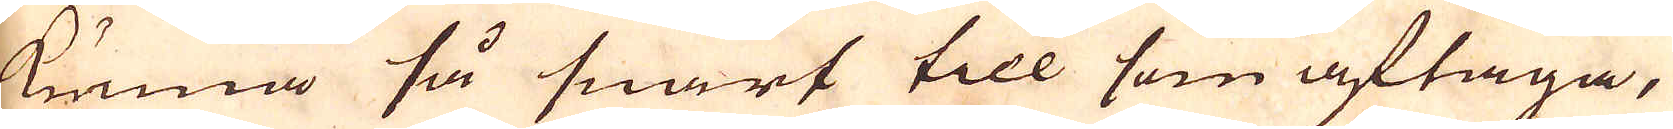kunna så snart till som aftaga,
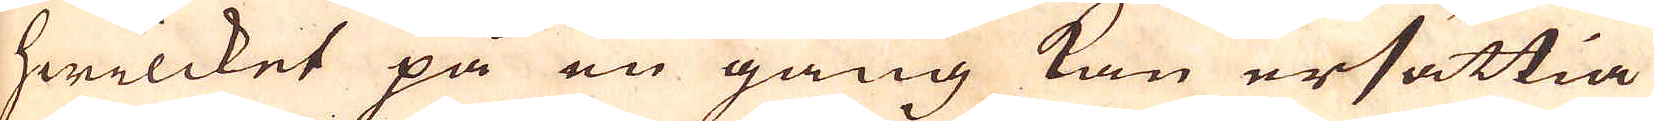hwilcket på en gång kan ersättia
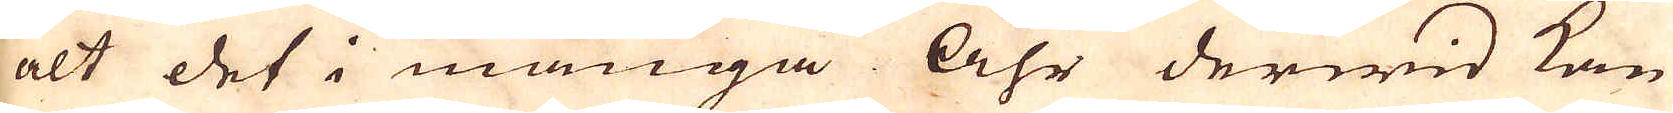alt det i många Åhr derwid kan
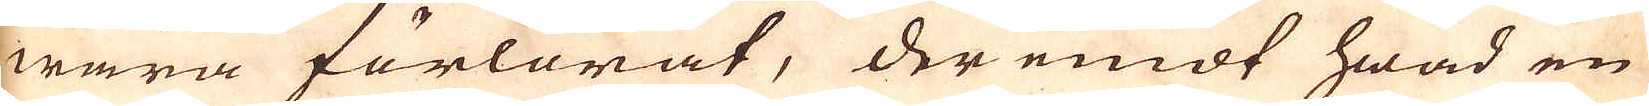wara förlorat, der emot hwad en
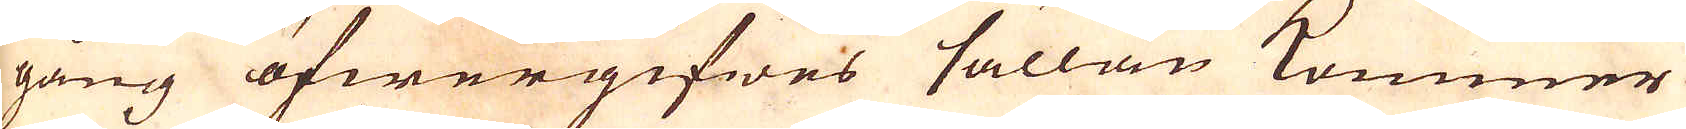gång öfwergifwes sällan kommer
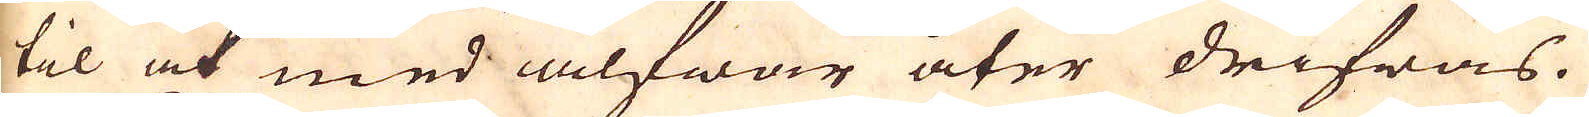til at med alfwar åter drifwas.
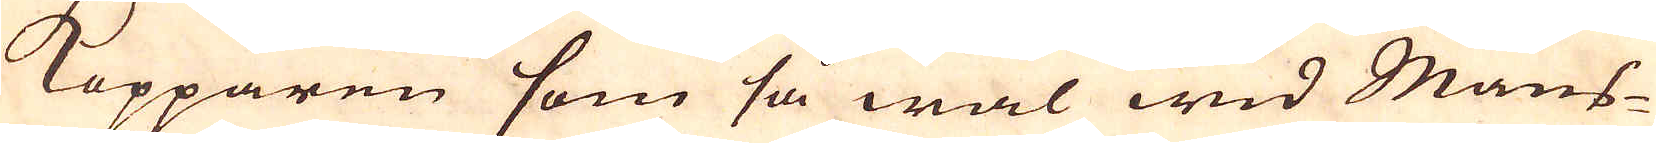Kopparen som så wäl wid Mans-
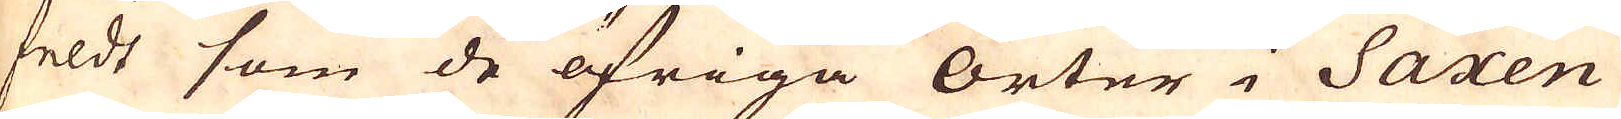feldt som de öfriga orter i Saxen
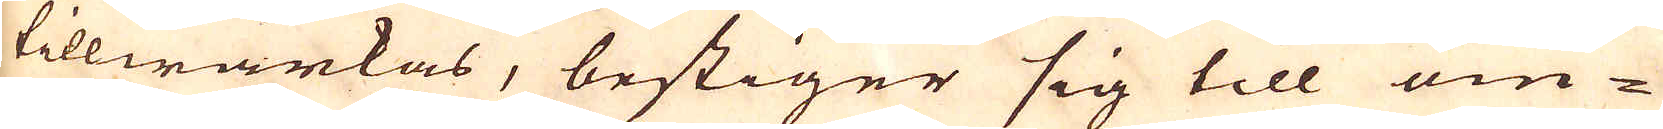tillwärkas, bestiger sig till om-
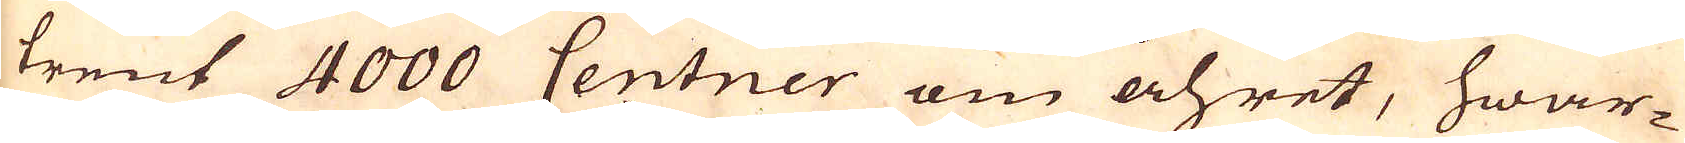trent 4000 Centner om åhret, hwar-
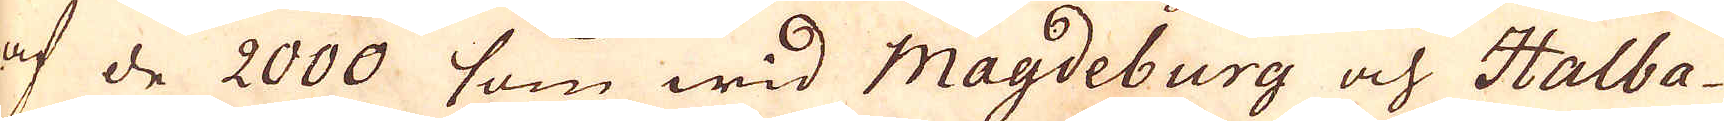af de 2000 som wid Magdeburg och Halba-
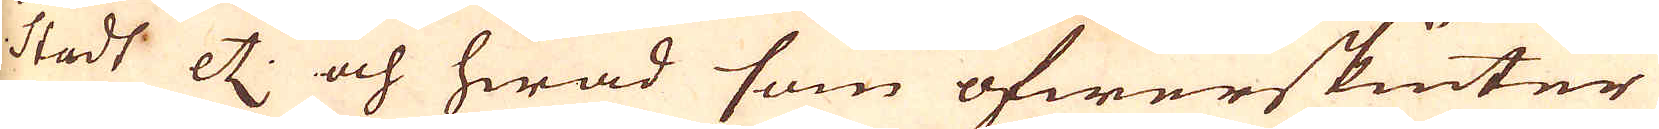stadt etc. och hwad som öfwerskiuter
